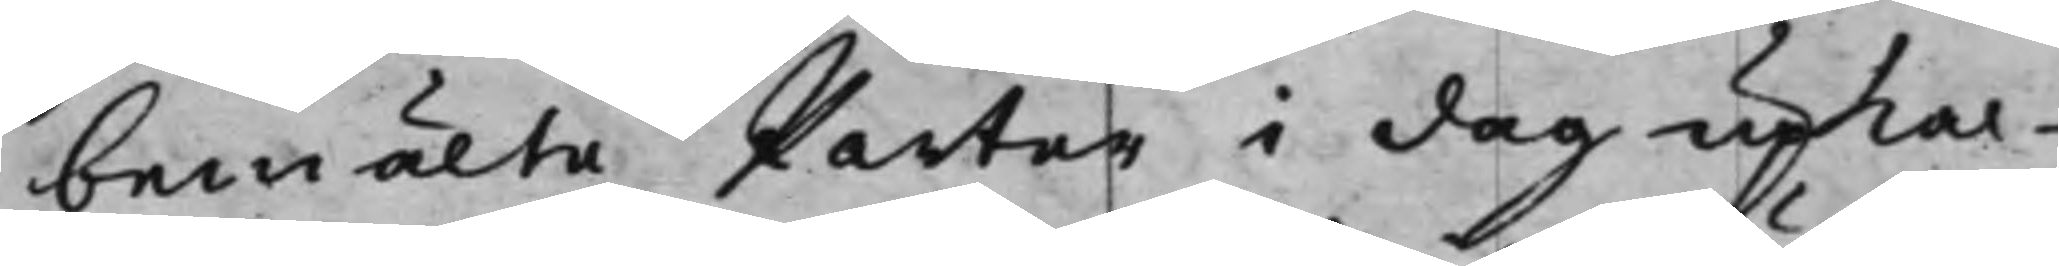bemälte Parter i dag upkal¬
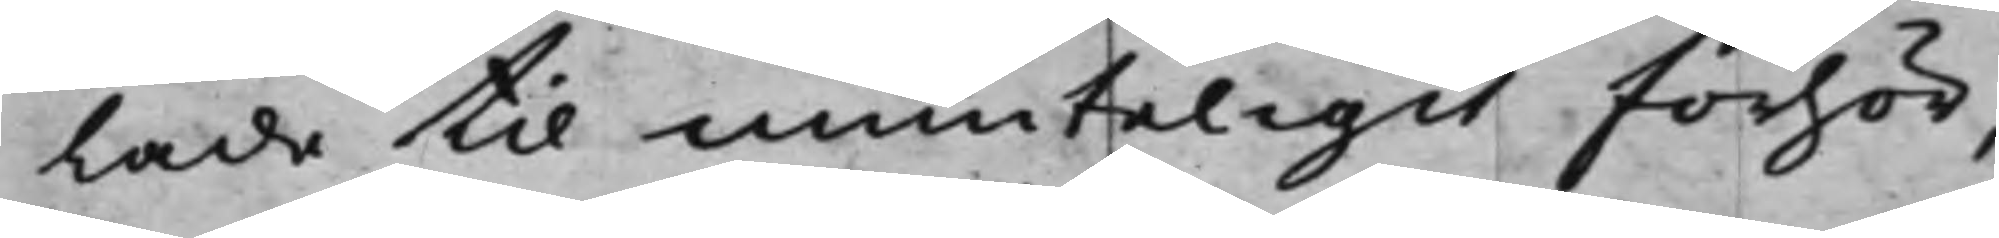lade til munteligit förhör,
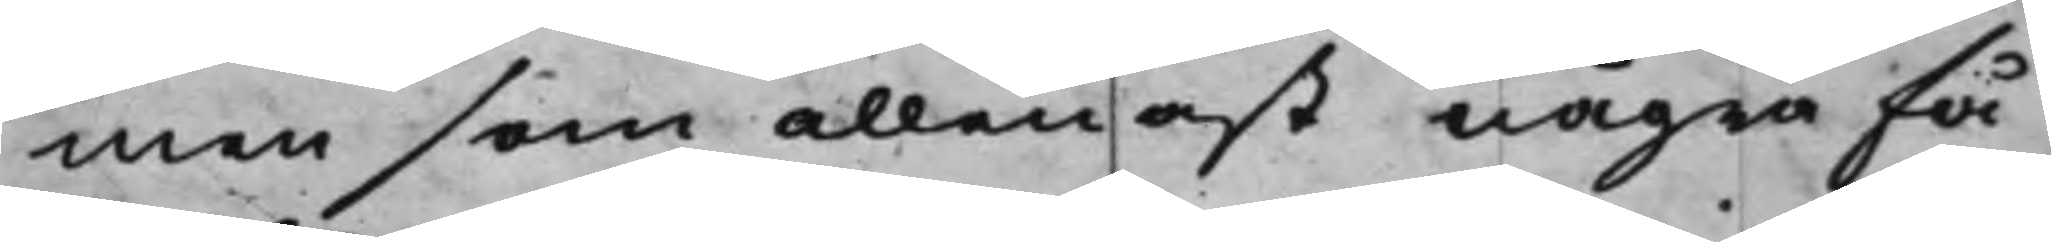men som allenast några få
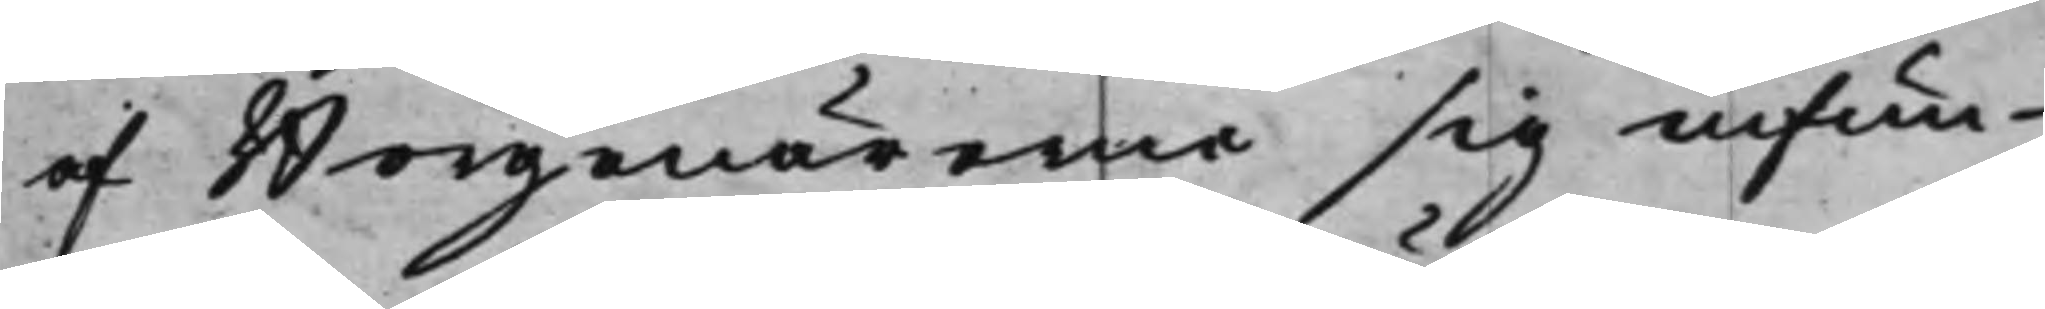af Borgenärerne sig infun¬
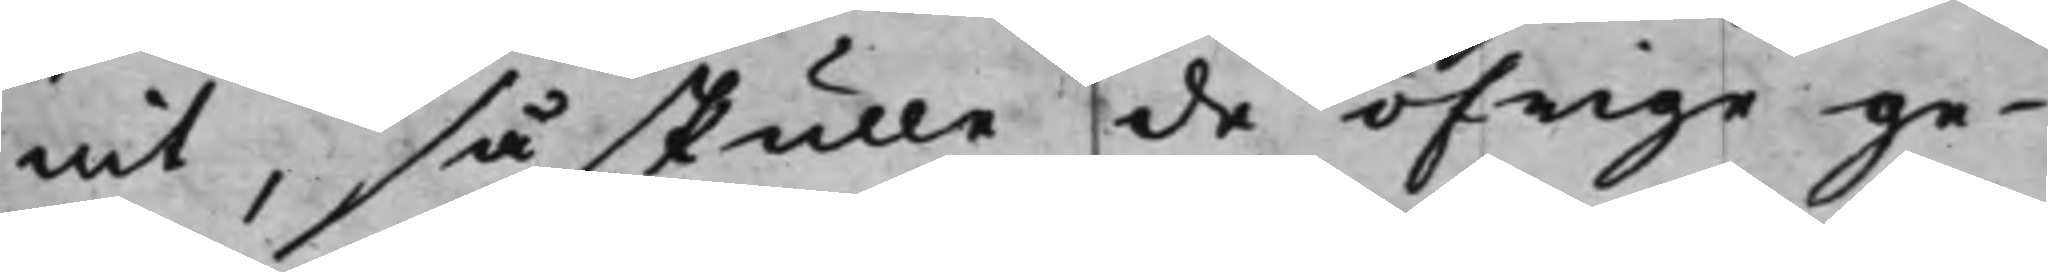nit, så skulle de öfrige ge¬
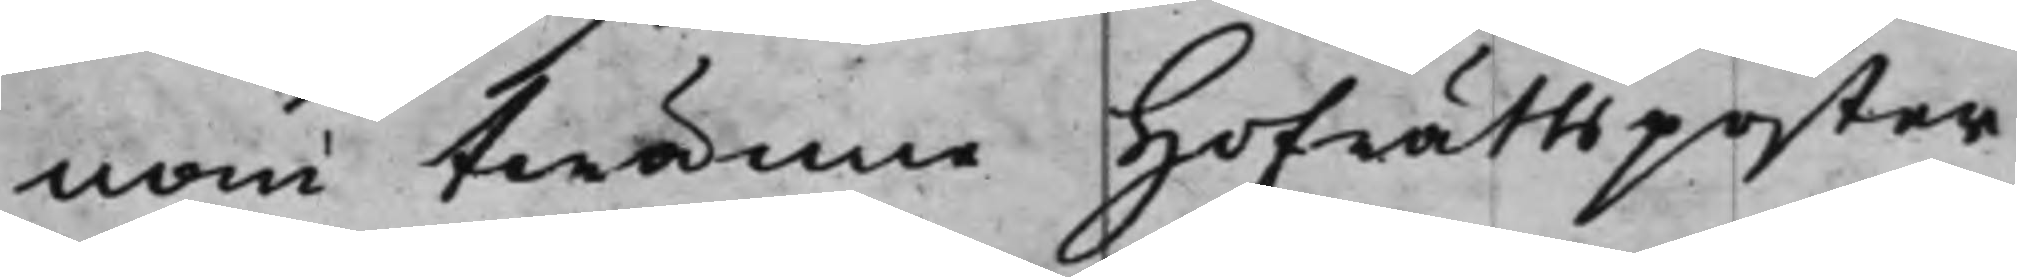nom twänne Hofrättsposter
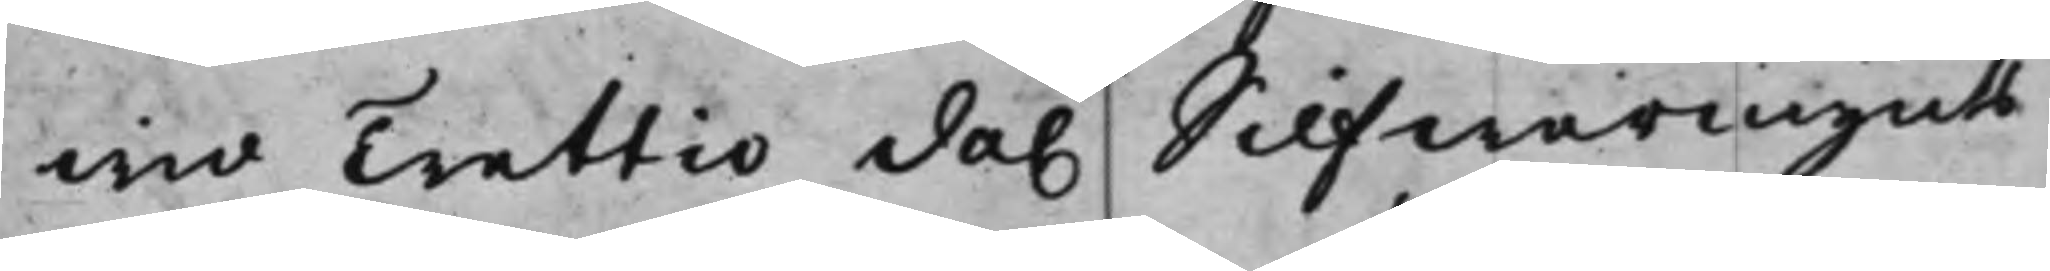wid Trettio da. Silfwermynts
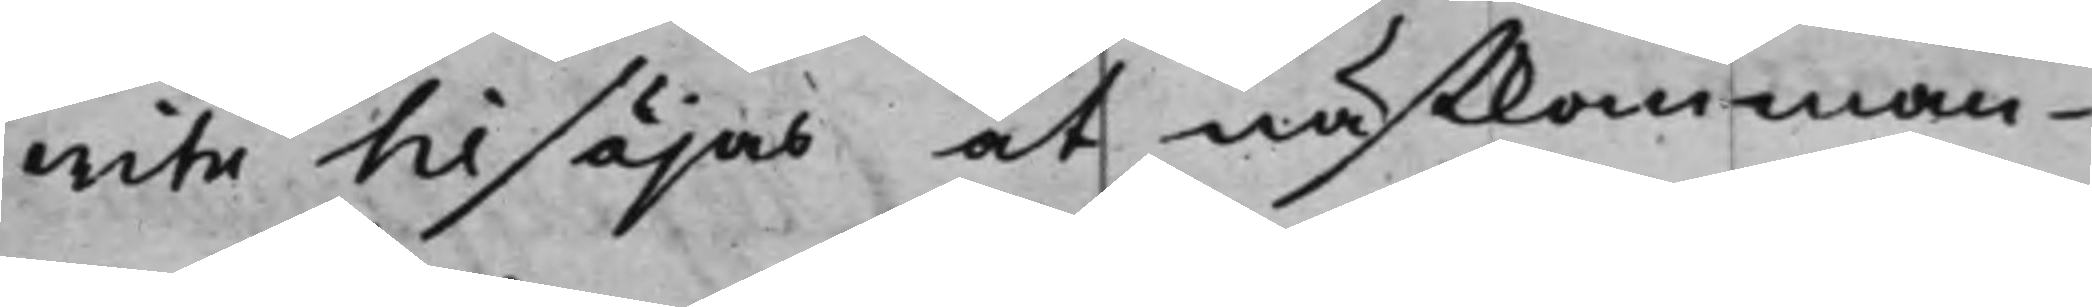wite tilsäjas at nästkomman¬
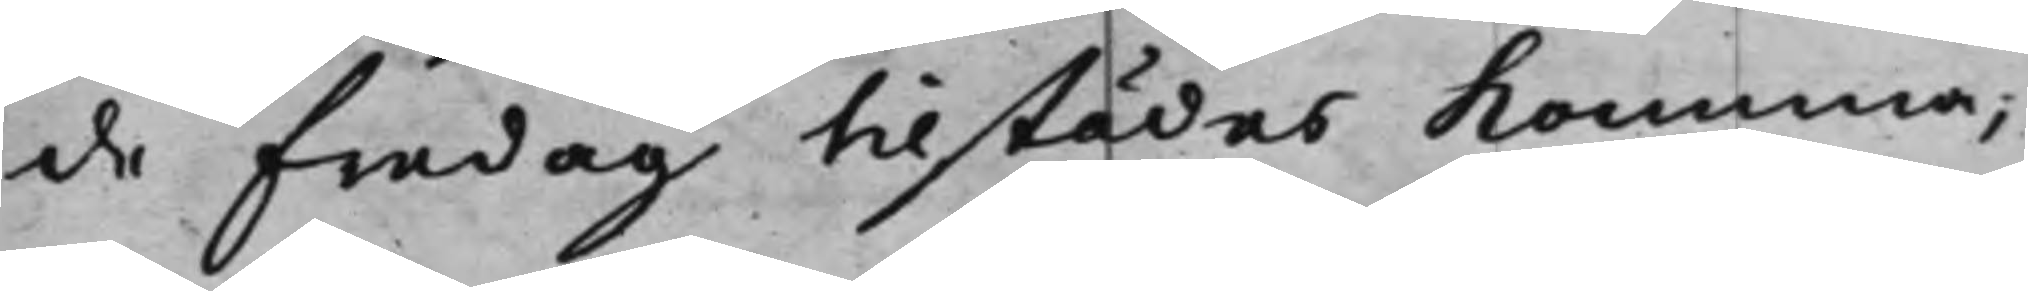de fredag tilstädes komma;
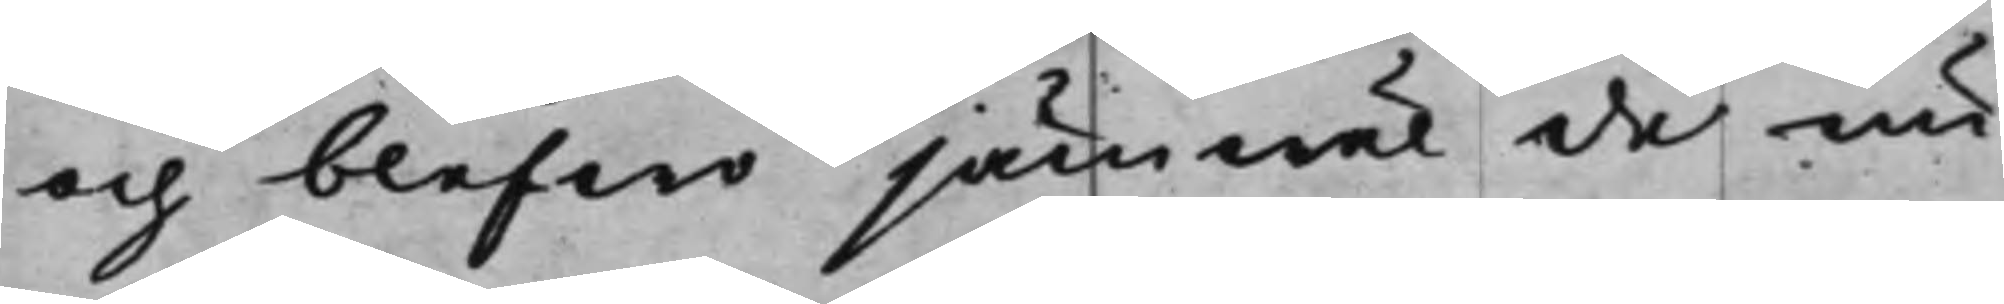och blefwo jämwäl de nu
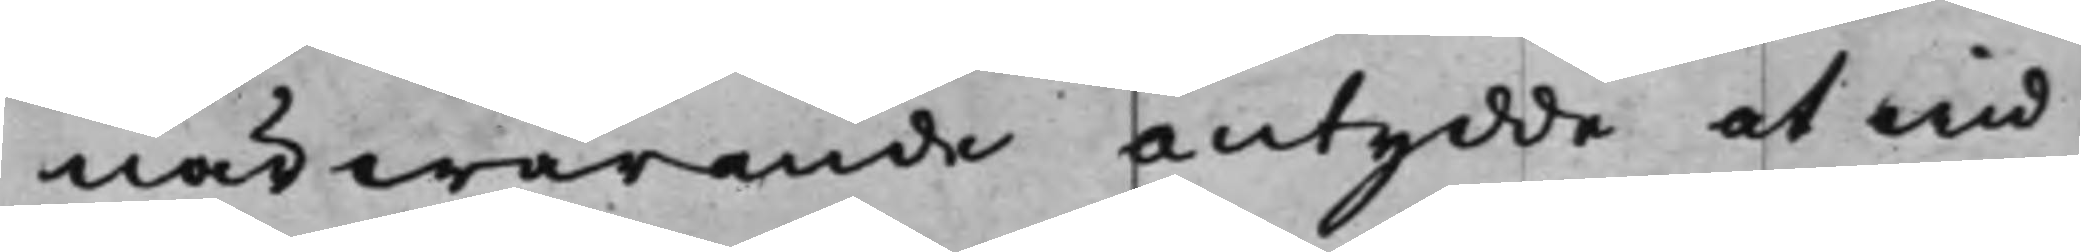närwarande antydde at wid
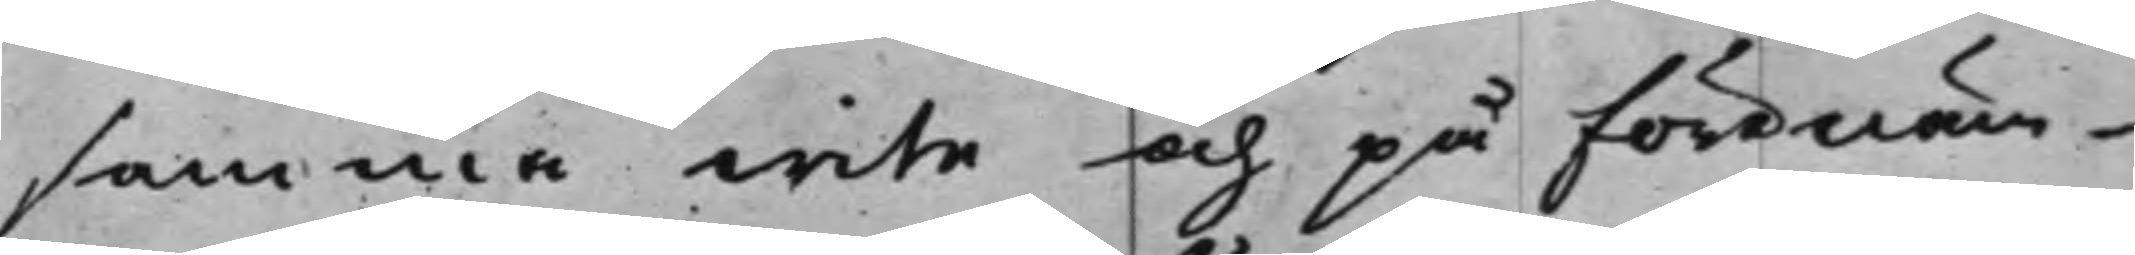samma wite och på förenäm¬
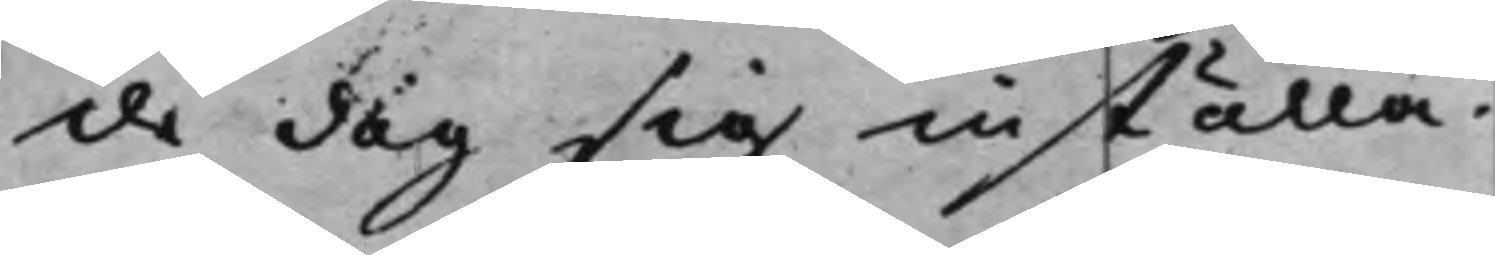de dag sig inställa.
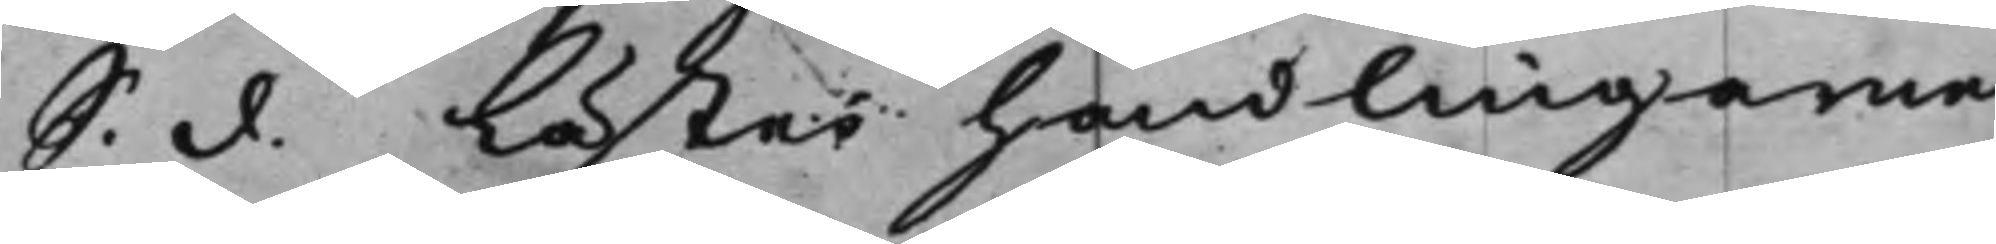S. d. Lästes handlingarne
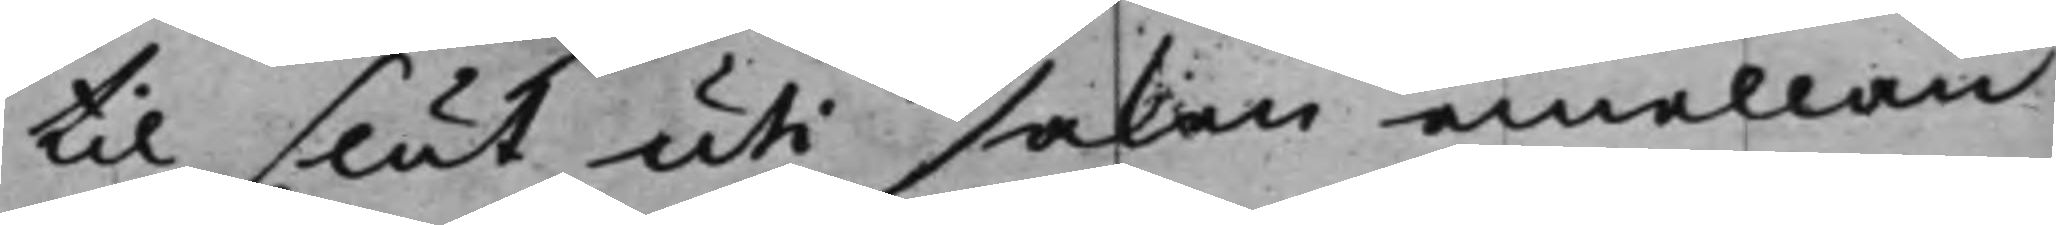til slut uti saken emellan
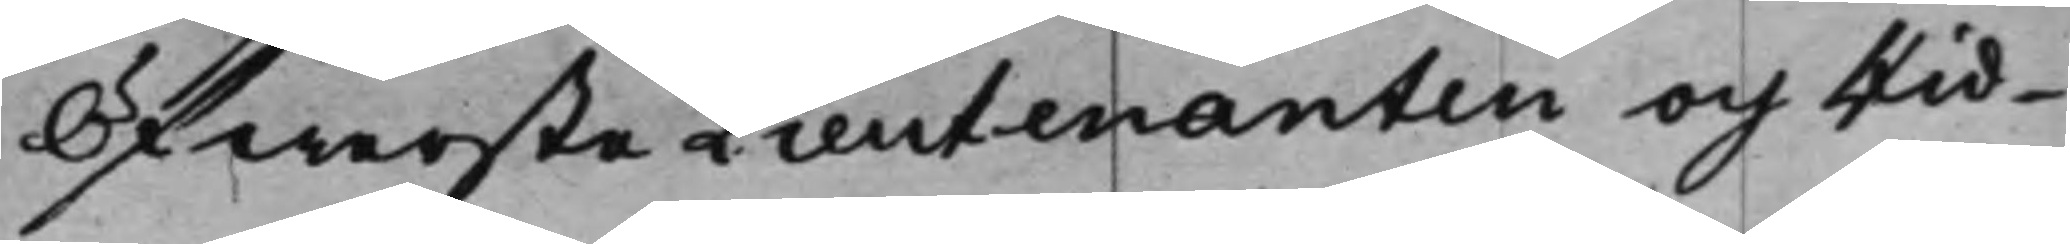ÖfwersteLieutenanten och Rid¬
